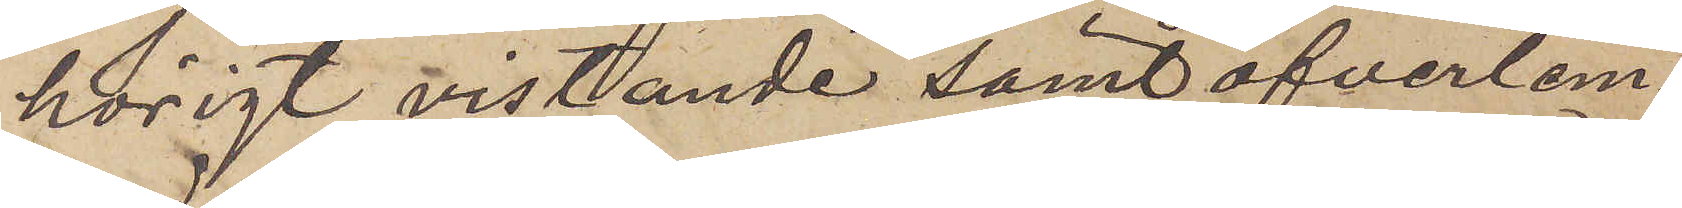hörigt vistande samt öfverlem¬
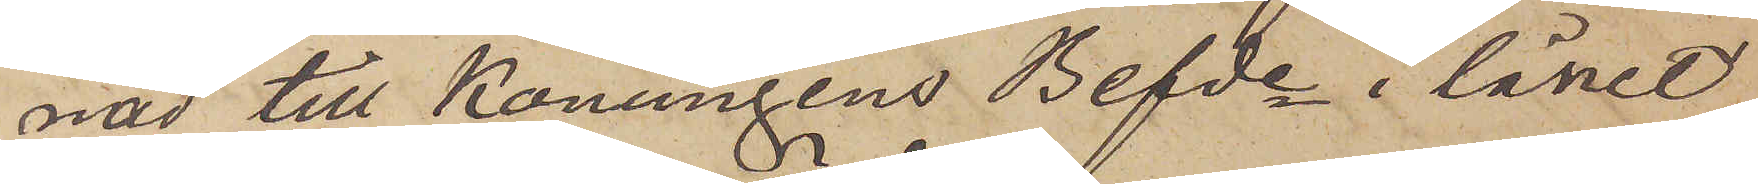nad till Konungens Befde i länet
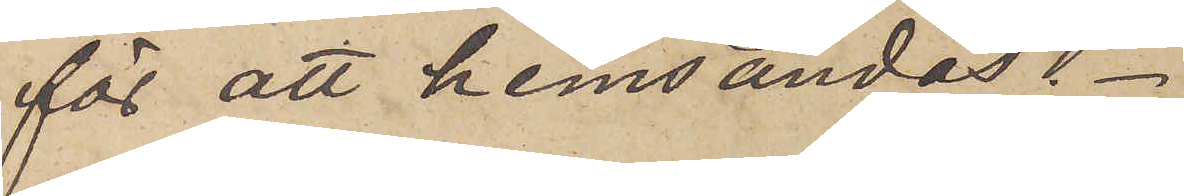för att hemsändas.
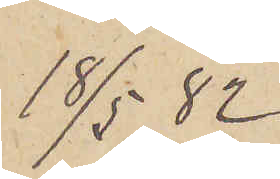18/5  82
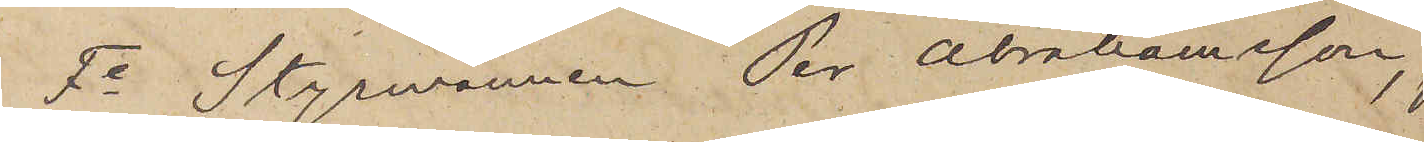Fe Styrmannen Per Abrahamsson,
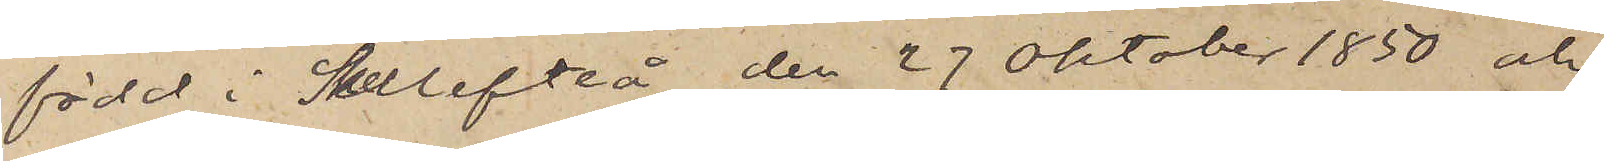född i Skellefteå den 27 Oktober 1850 och
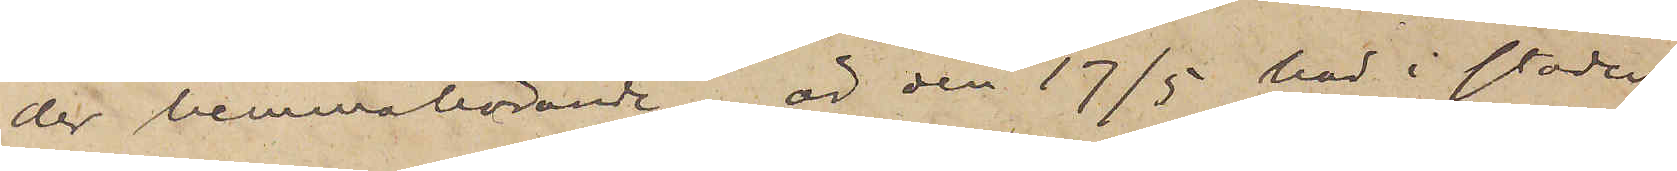der hemmahörande, är den 17 här i staden
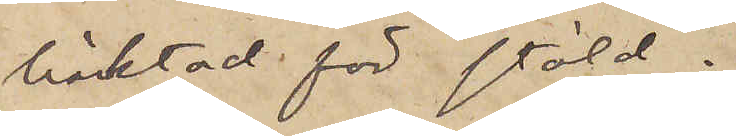häktad för stöld.
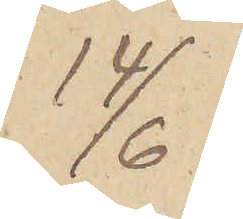14/6
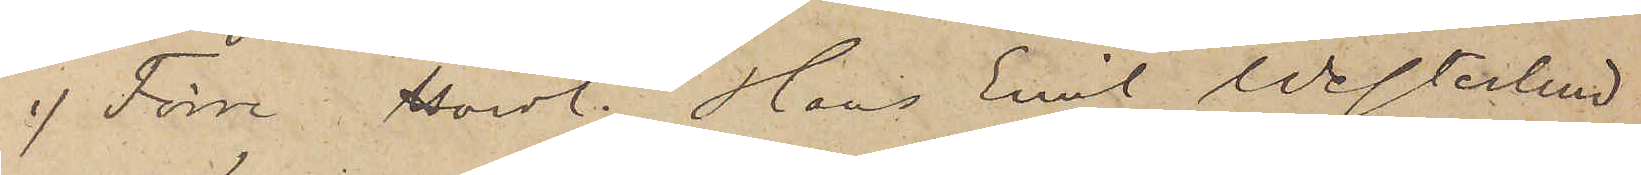1) Förre Handl. Hans Emil Westerlind
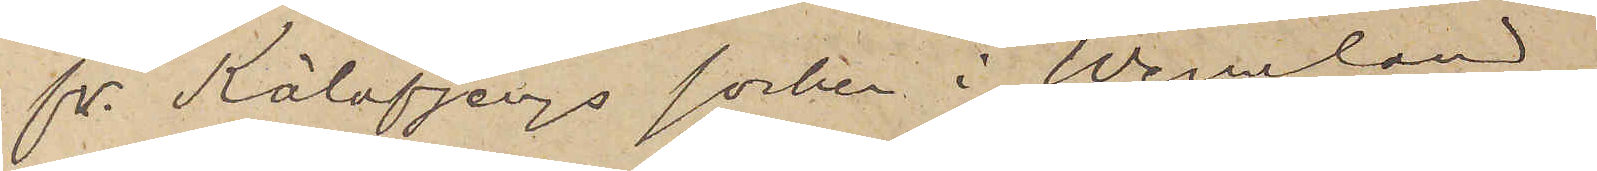fr. Kölafjergs socken i Wermland,
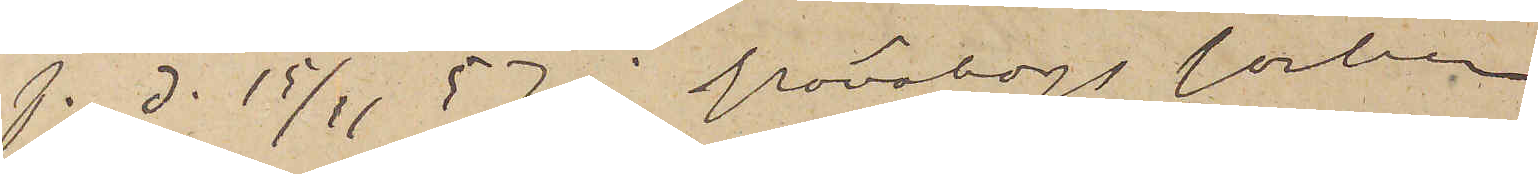f. d. 15/11 57 i Frönskogs socken
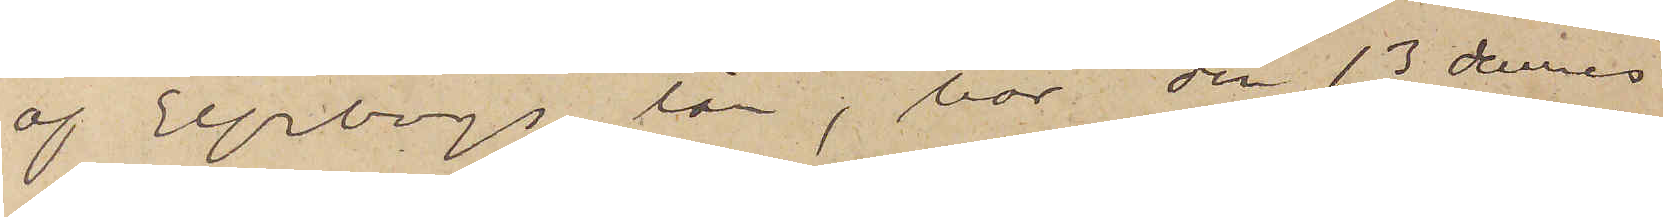af Elfsborgs län, har den 13 dennes
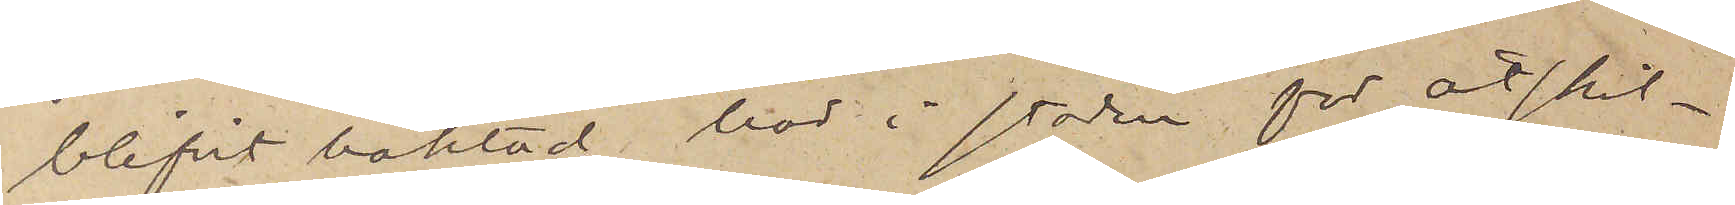blifvit häktad här i staden för åtskil¬
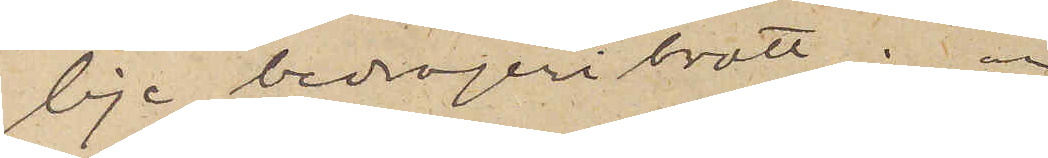lige bedrägeribrott; 
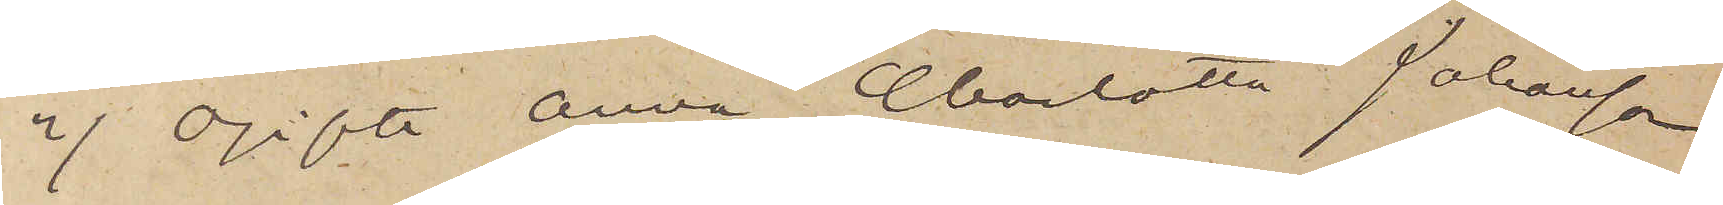2) Ogifta Anna Charlotta Johansson
